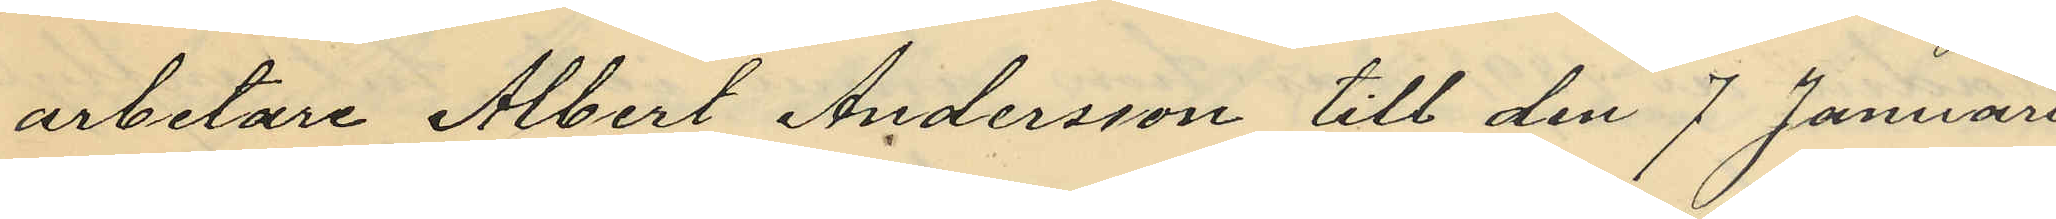arbetare Albert Andersson till den 7 Januari
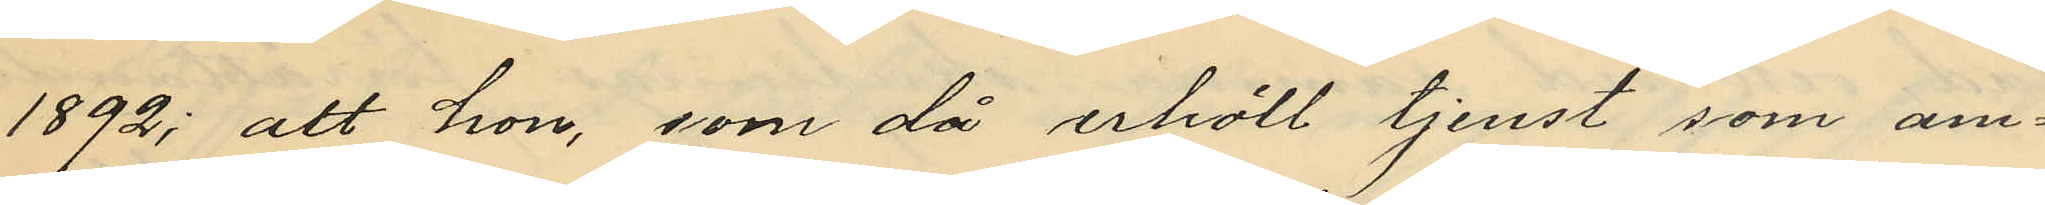1892; att hon, som då erhöll tjenst som am¬
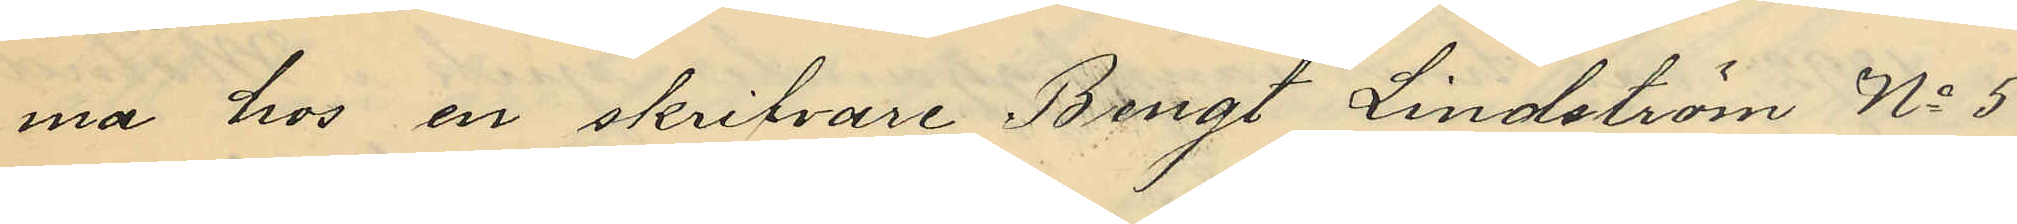ma hos en skrifvare Bengt Lindström No 5
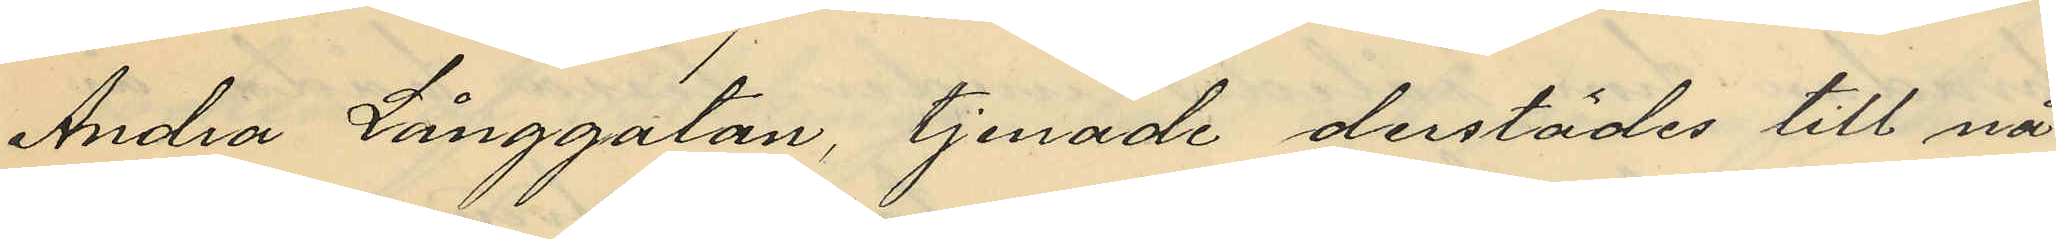Andra Långgatan, tjenade derstädes till nå¬
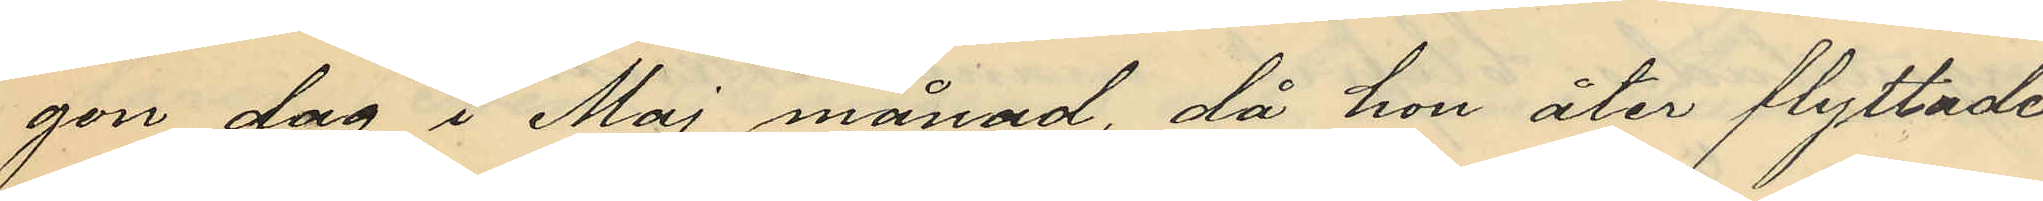gon dag i Maj månad, då hon åter flyttade
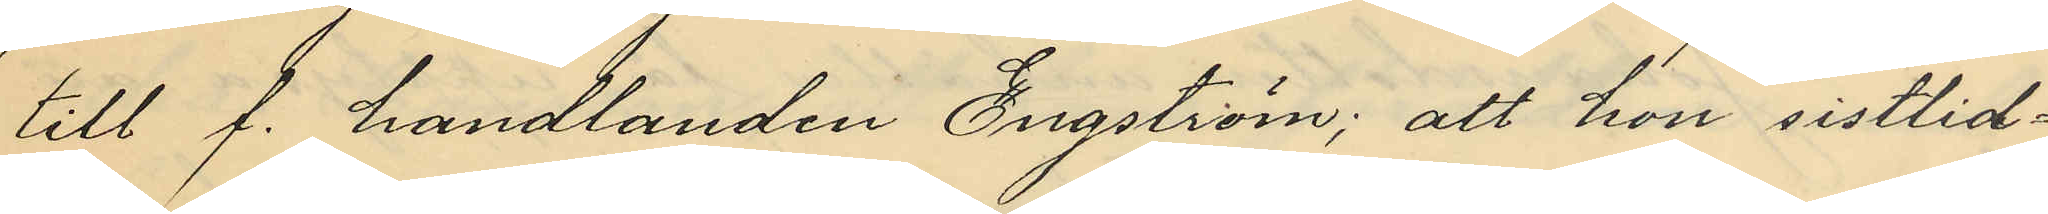till f. handlanden Engström; att hon sistlid¬
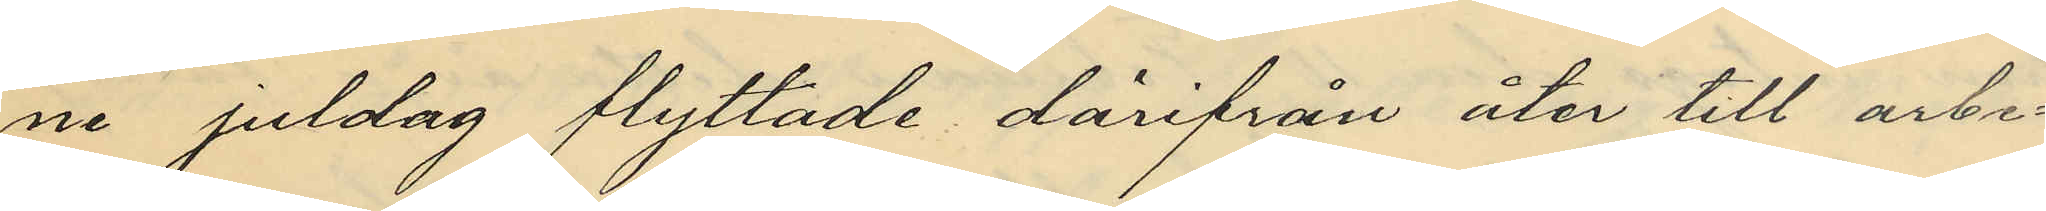ne juldag flyttade därifrån åter till arbe¬
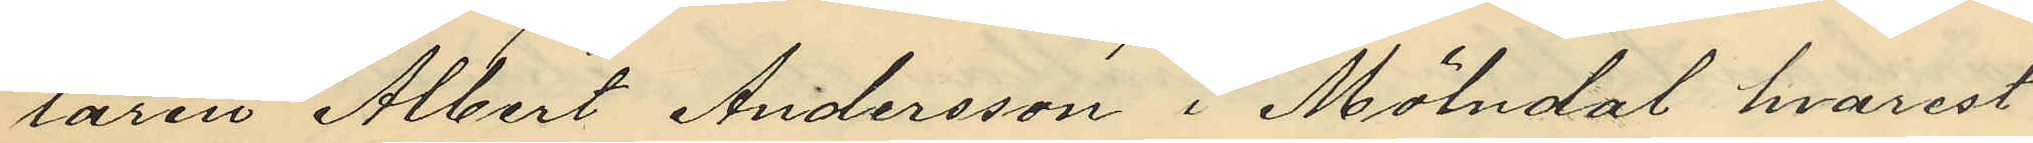taren Albert Andersson i Mölndal hvarest
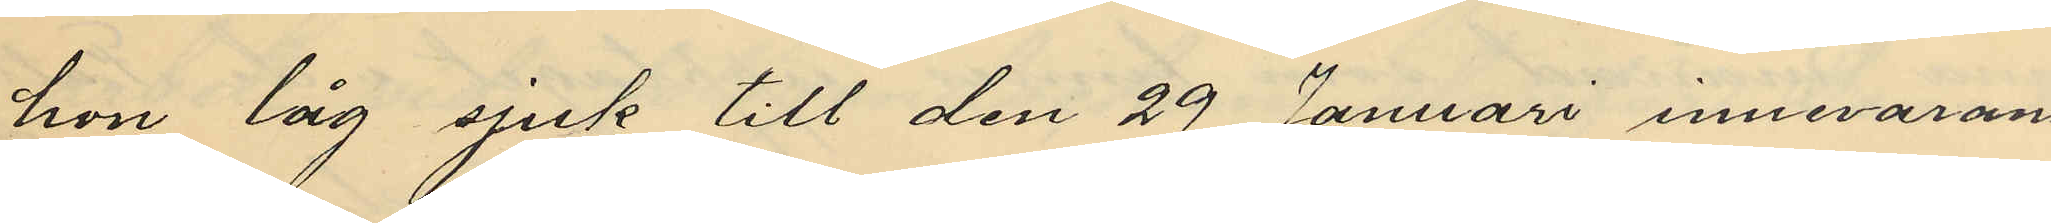hon låg sjuk till den 29 Januari innevaran¬
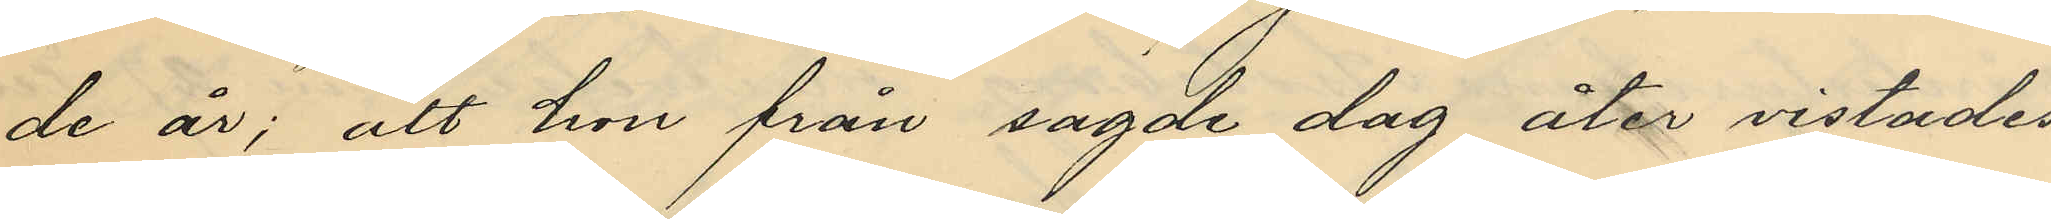de år; att hon från sagde dag åter vistades
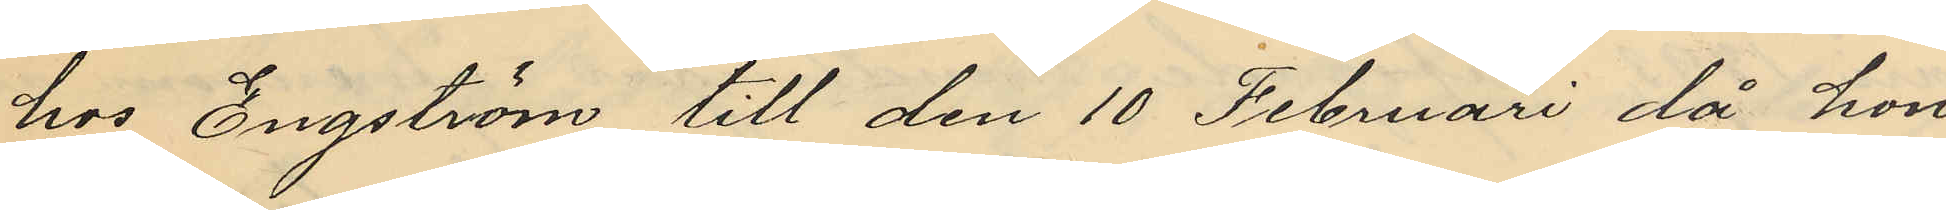hos Engström till den 10 Februari då hon
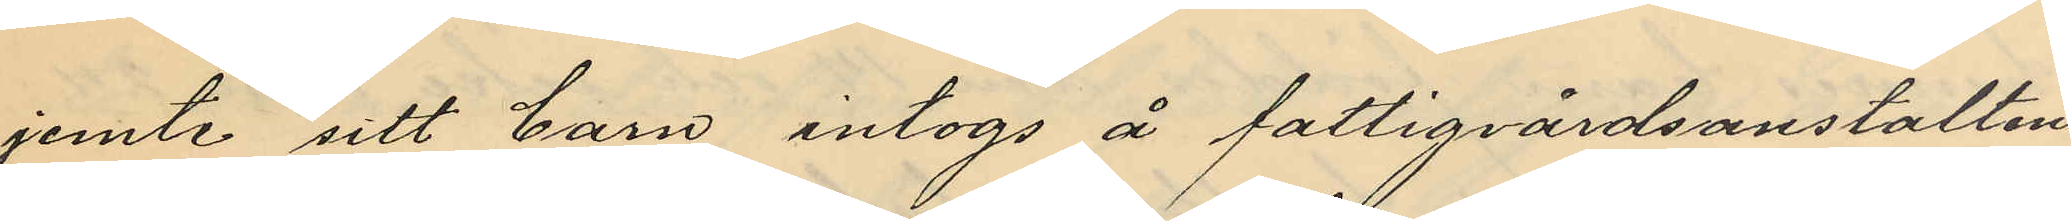jemte sitt barn intogs å fattigvårdsanstalten
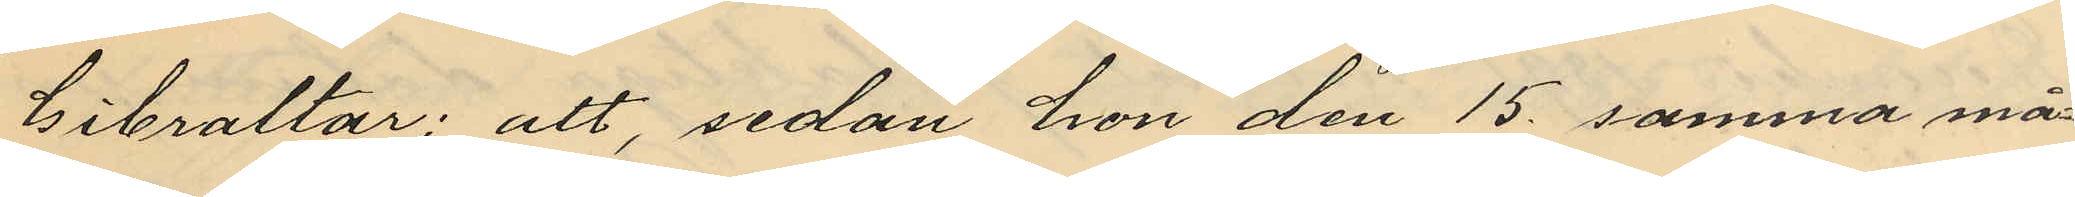Gibraltar; att, sedan hon den 15 samma må¬
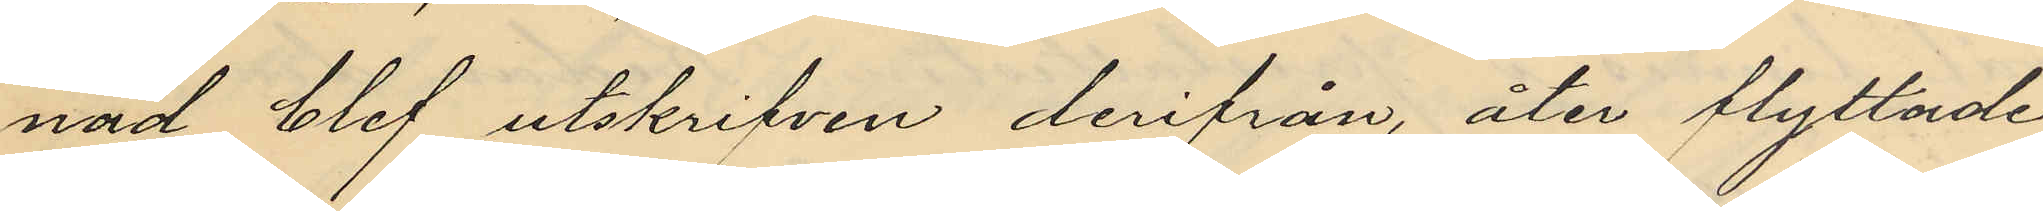nad blef utskrifven derifrån åter flyttade
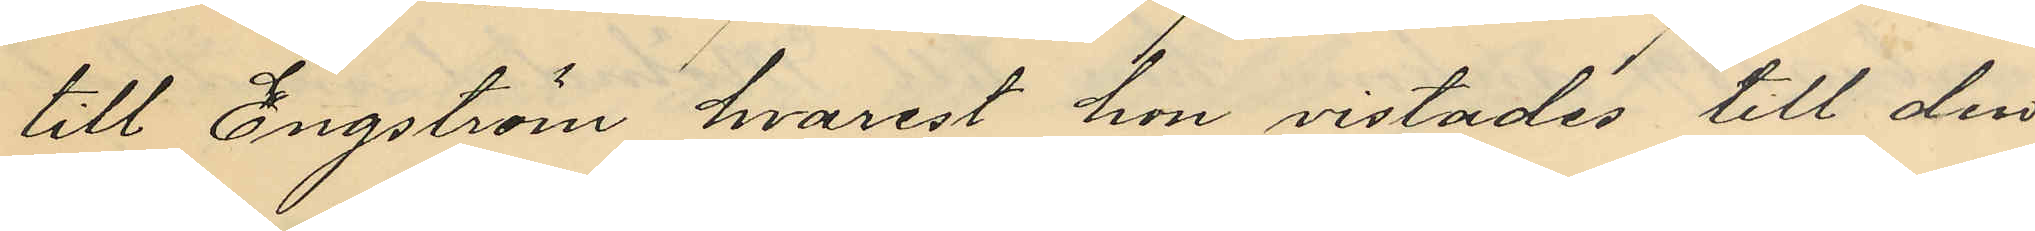till Engström hvarest hon vistades till den
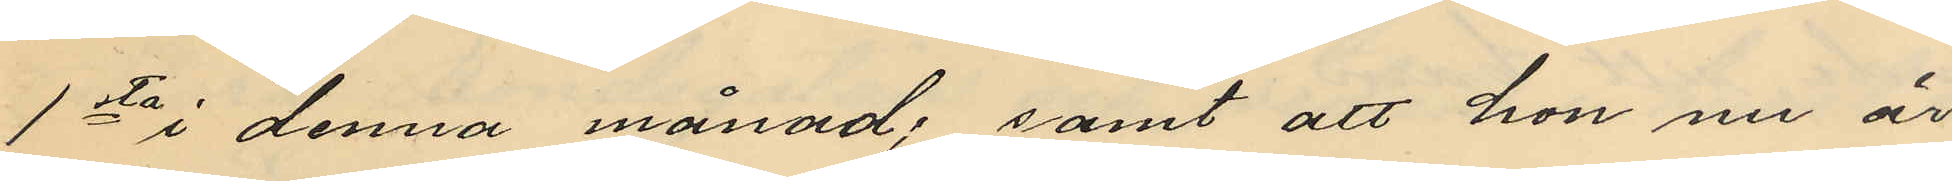1sta i denna månad; samt att hon nu är
